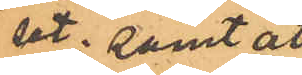set; samt att
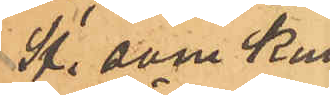St., som kun-
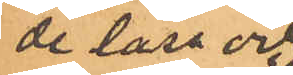de läsa och
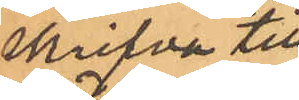skrifva till-
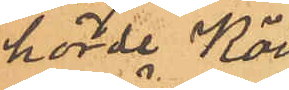hörde Köin¬
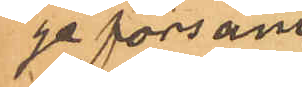ge försam¬
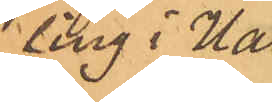ling i Hal¬
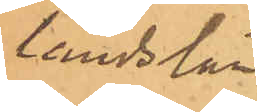lands län.
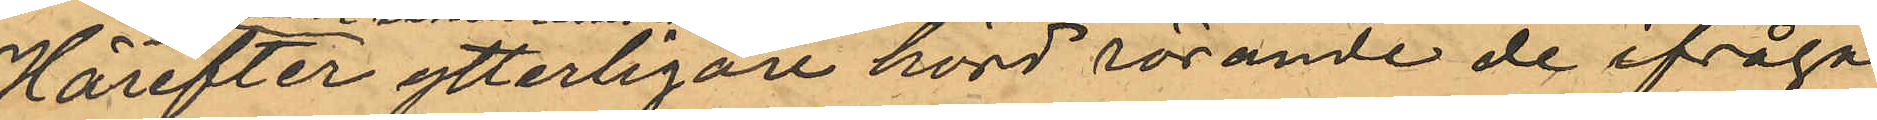Härefter ytterligare hörd rörande de ifråga¬
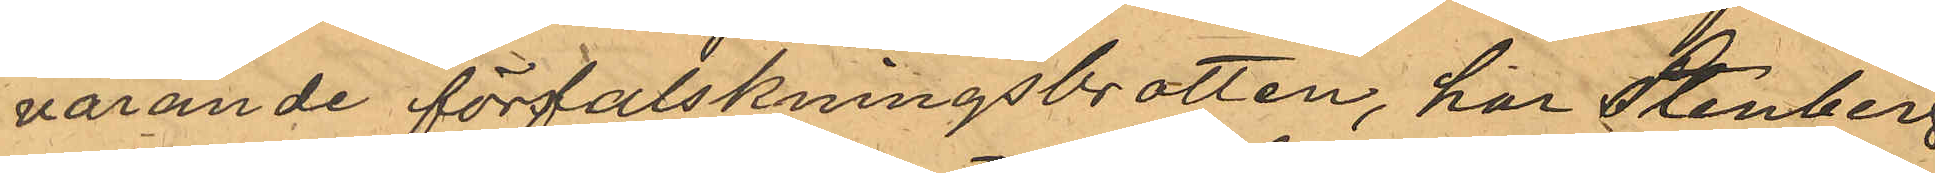varande förfalskningsbrotten, har Stenberg
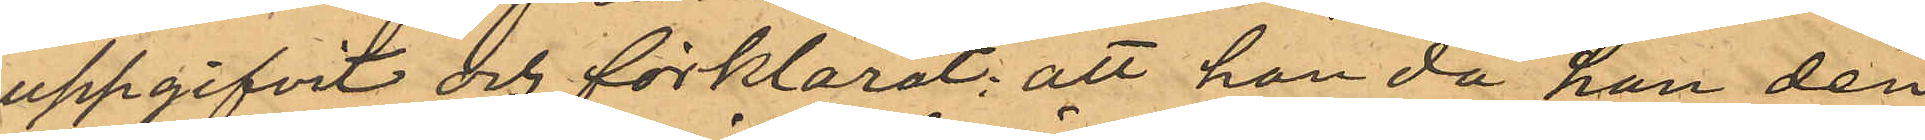uppgifvit och förklarat; att han då han den
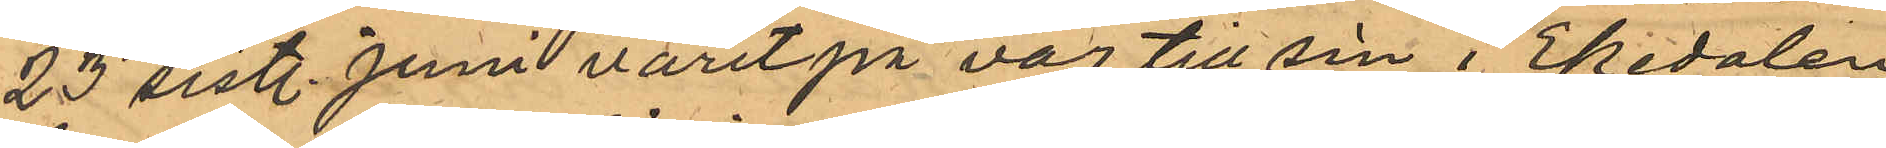23 sistl. Juni varit på väg till sin i Ekedalen
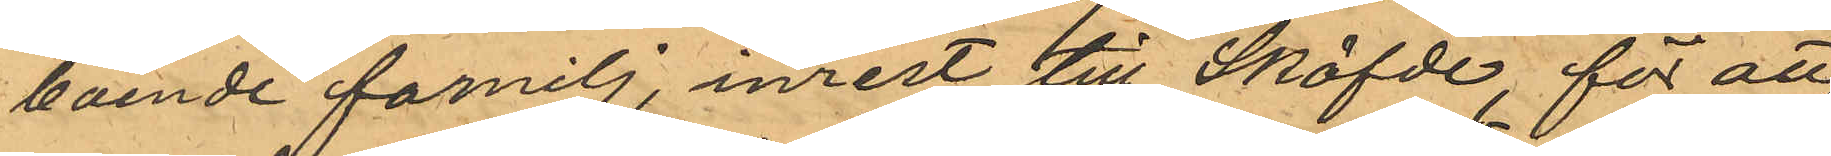boende farnilj, inrest till Sköfde, för att
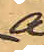å
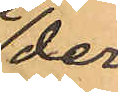der-
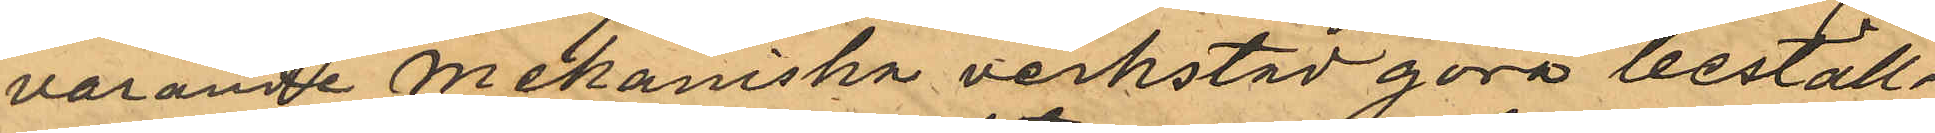varande Mekaniska verkstad göra beställ¬
